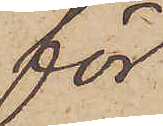för
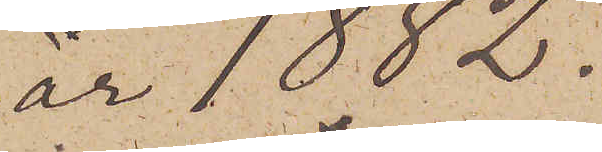år 1882.
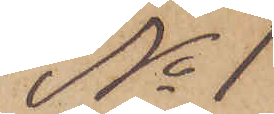No 1
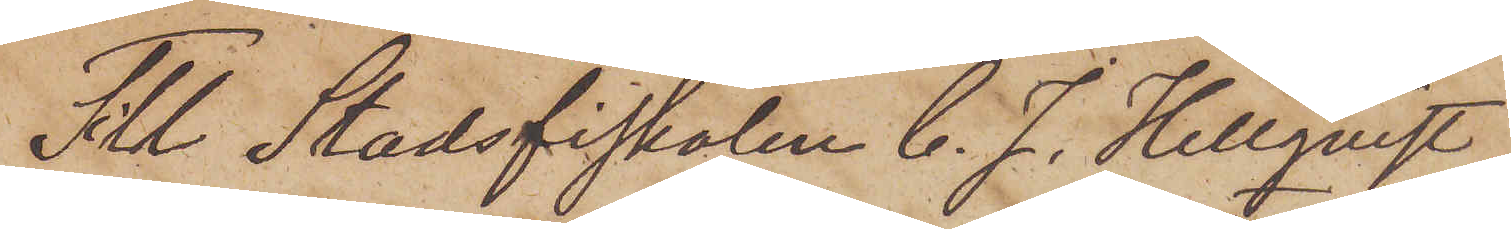Till Stadsfiskalen C. J. Hellqvist
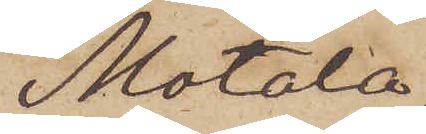Motala.
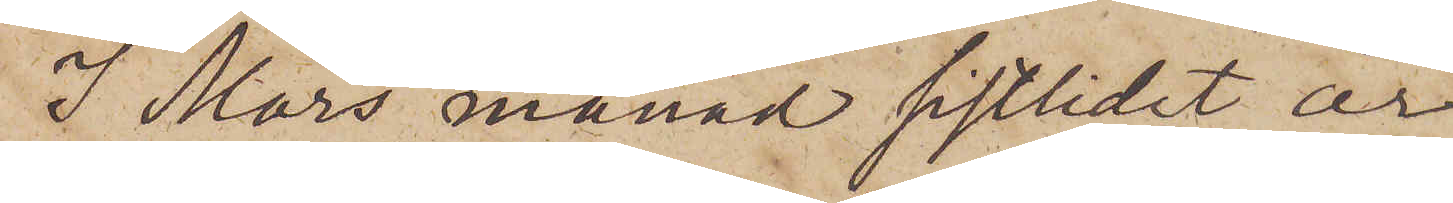I Mars månad sistlidet år
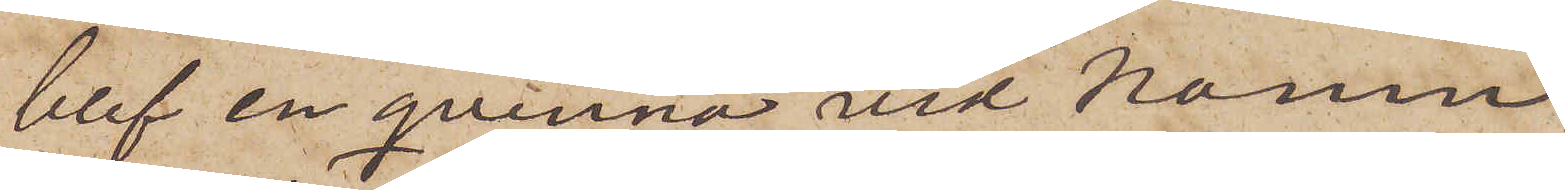blef en qvinna vid namn
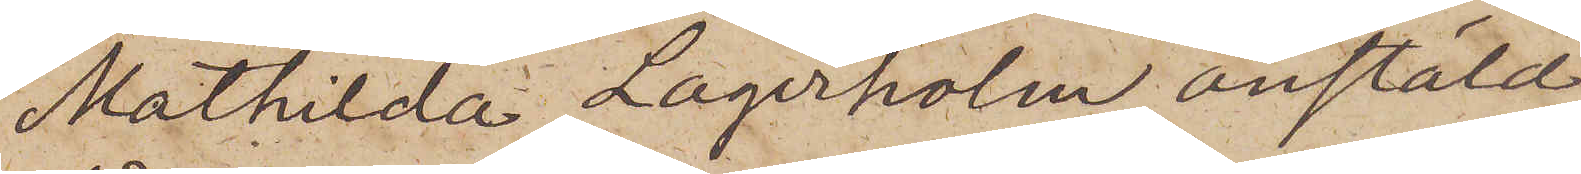Mathilda Lagerholm anstäld
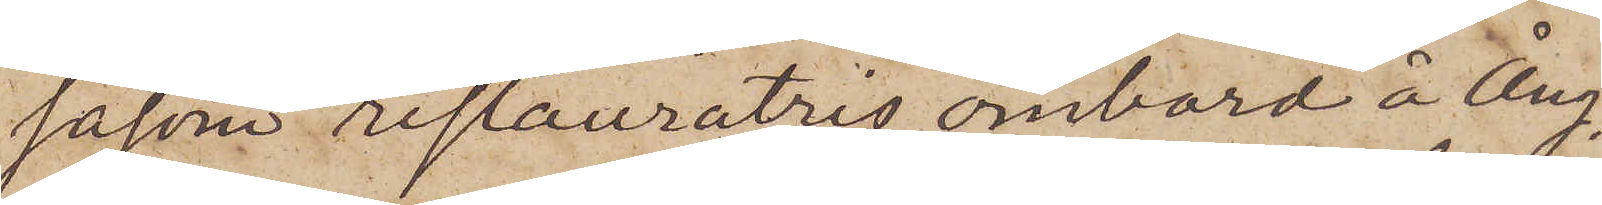såsom restauratris ombord å Ång¬
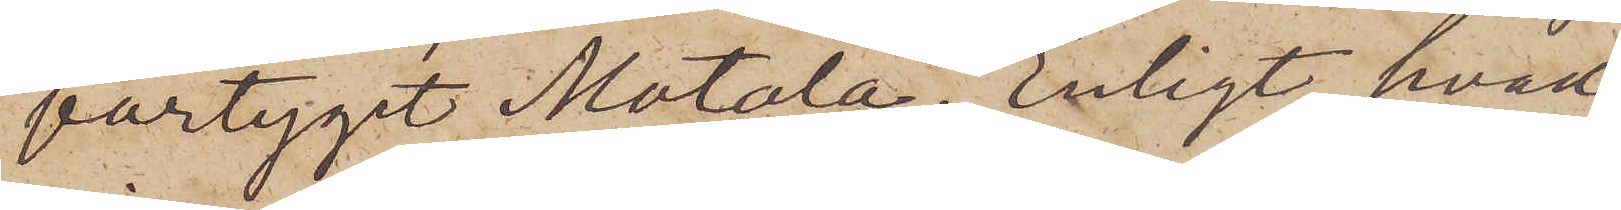fartyget Motala. Enligt hvad
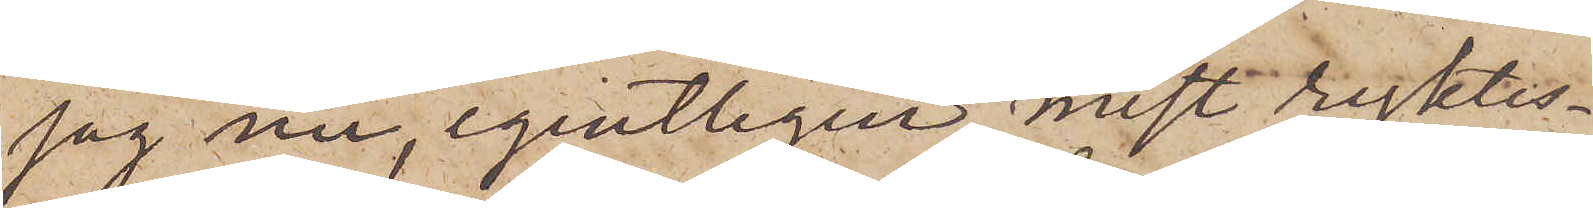jag nu, egentligen mest ryktes¬
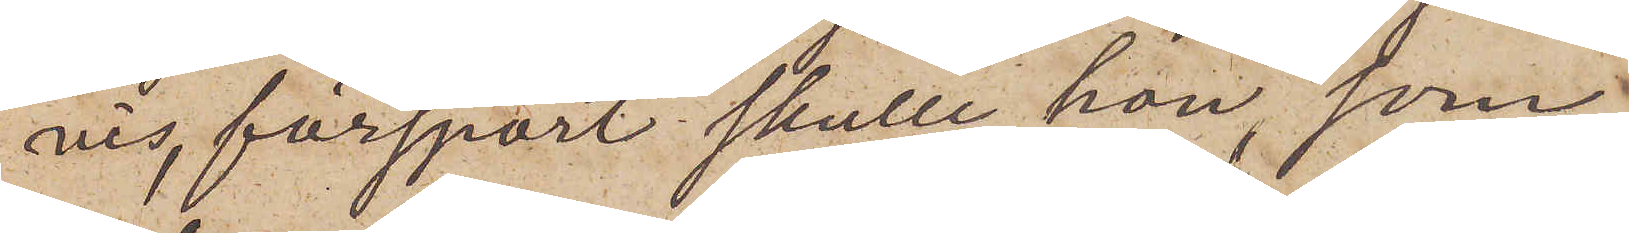vis, försport skulle hon, som
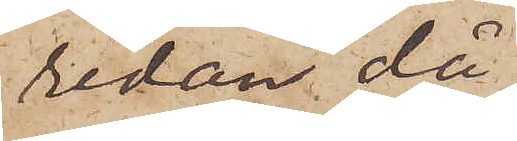redan då
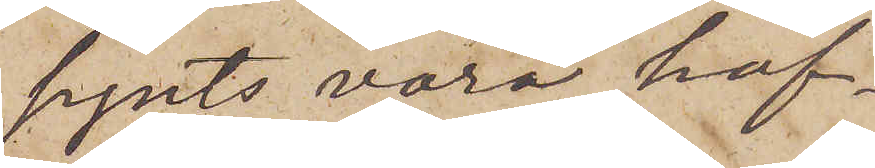synts vara haf¬
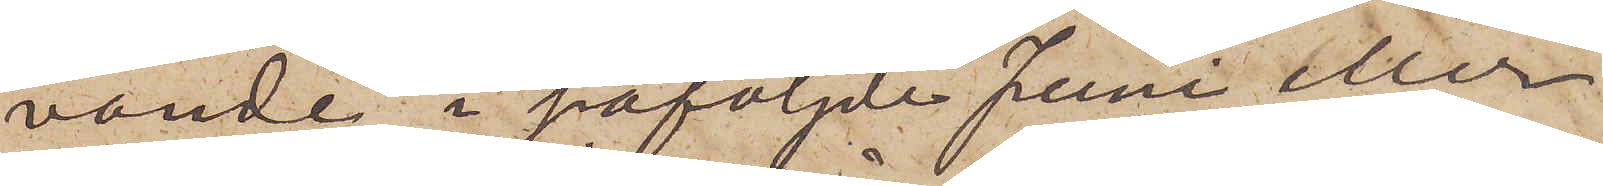vande, i påföljde Juni eller
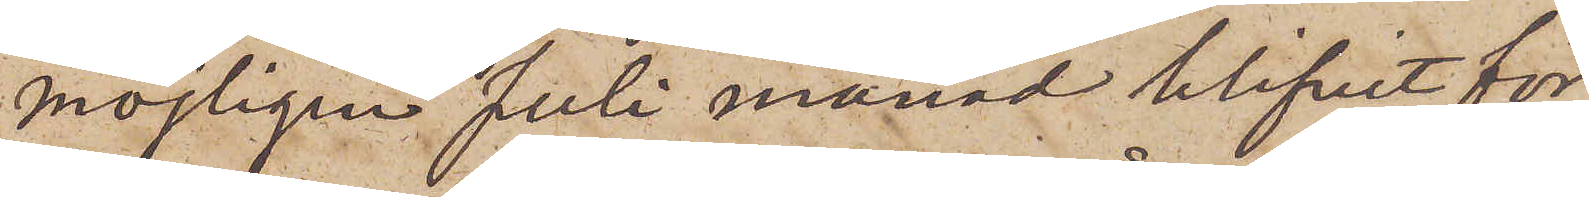möjligen Juli månad blifvit för¬
